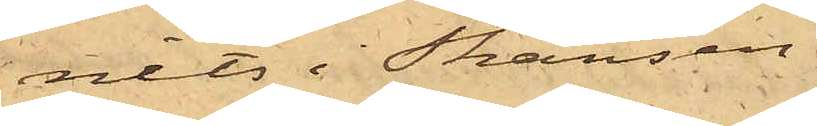nits i Skansen.
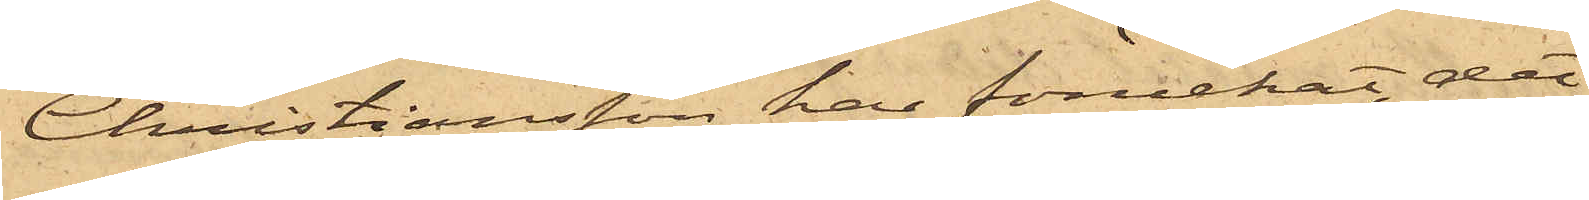Christiansson har förnekat, det
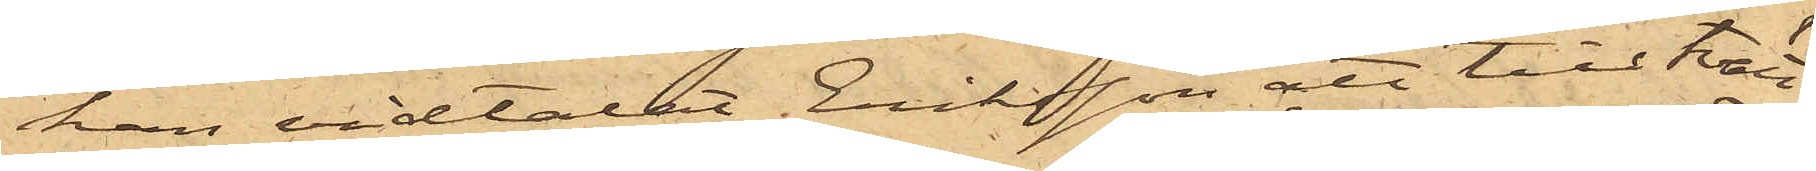han vidtalat Eriksson att till tvätt¬
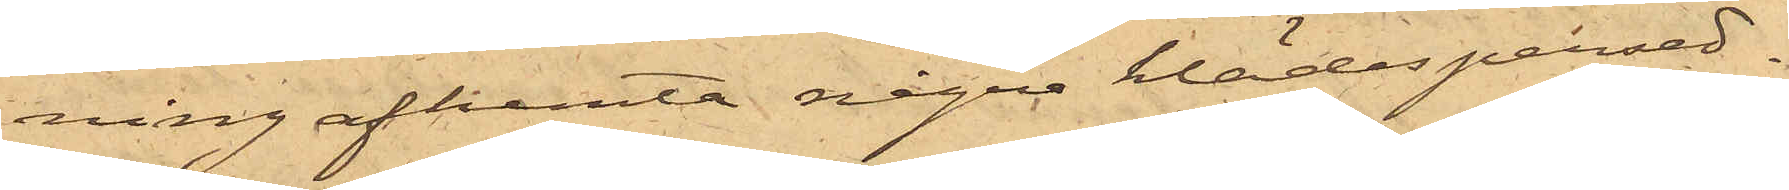ning afhemta några klädespersed¬
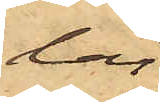lar.
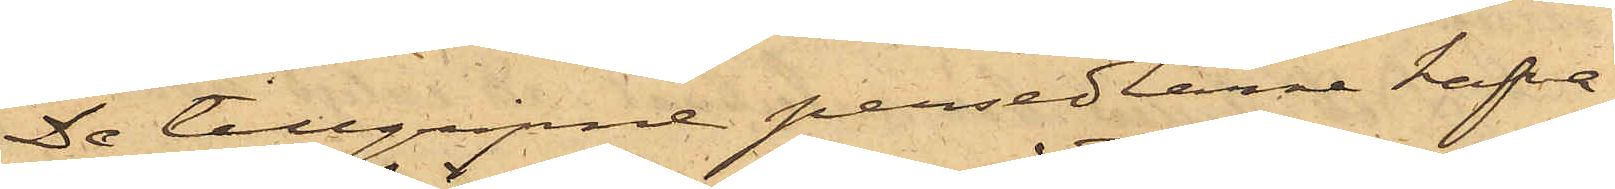De tillgripne persedlarne hafva
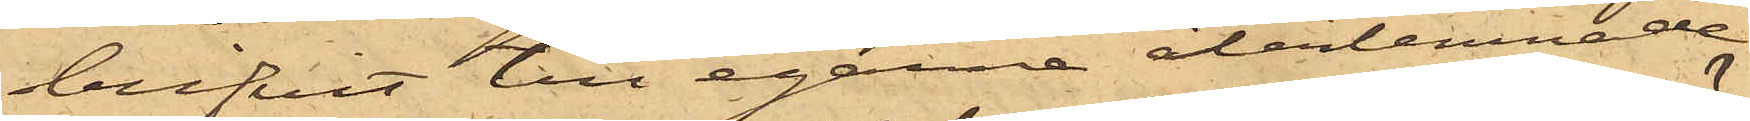blifvit till egarne återlemnade.
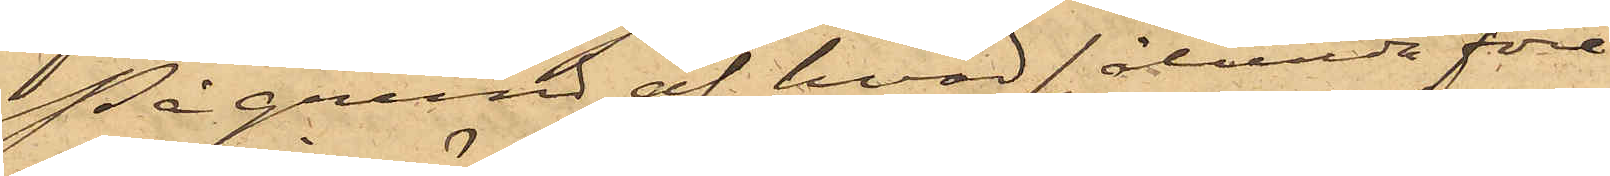På grund af hvad sålunda före¬
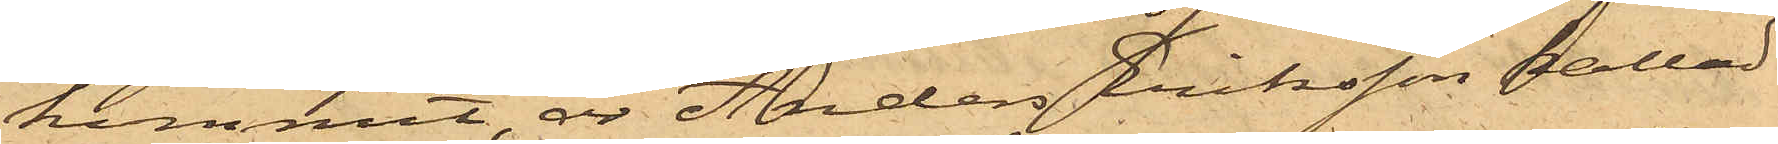kommit, är Anders Eriksson kallad
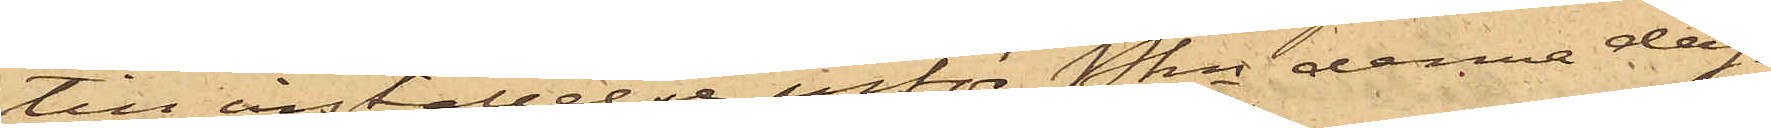till inställelse inför Pkn denna dag.
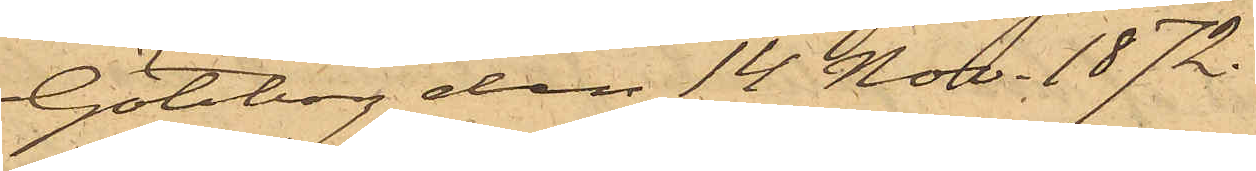Göteborg den 14 Nov. 1872.
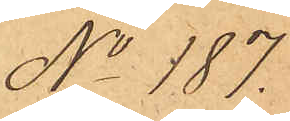No 187.
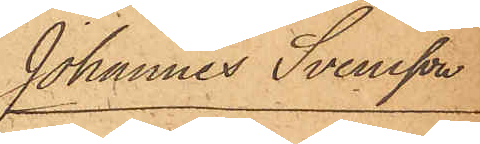Johannes Svensson
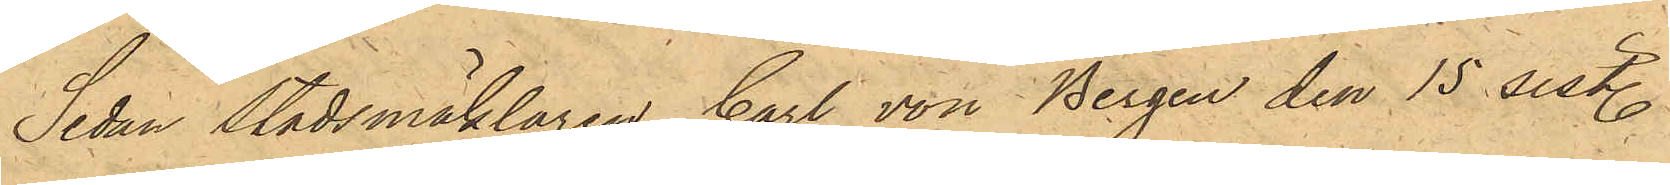Sedan Stadsmäklaren Carl von Bergen den 15 sistl.
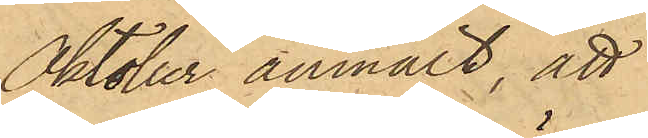Oktober anmält, att
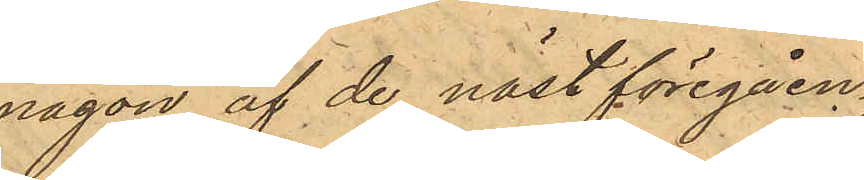någon af de näst föregåen¬
